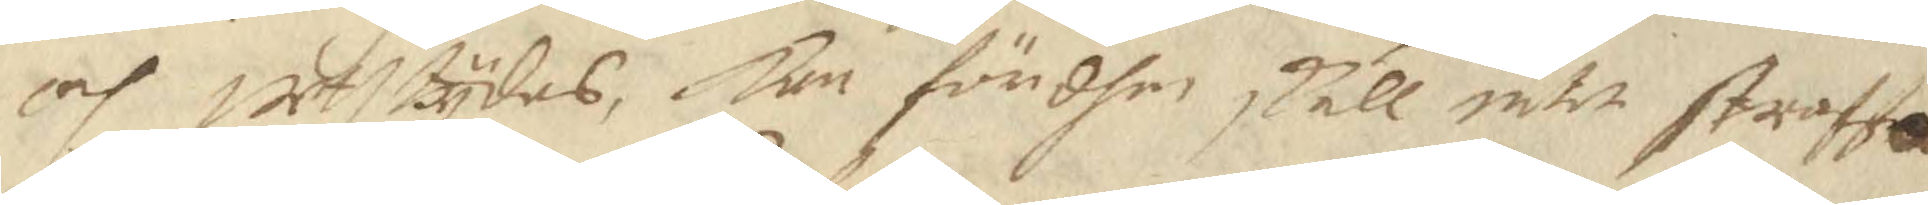och uthtydas, Kan för dhen skull intet straffa
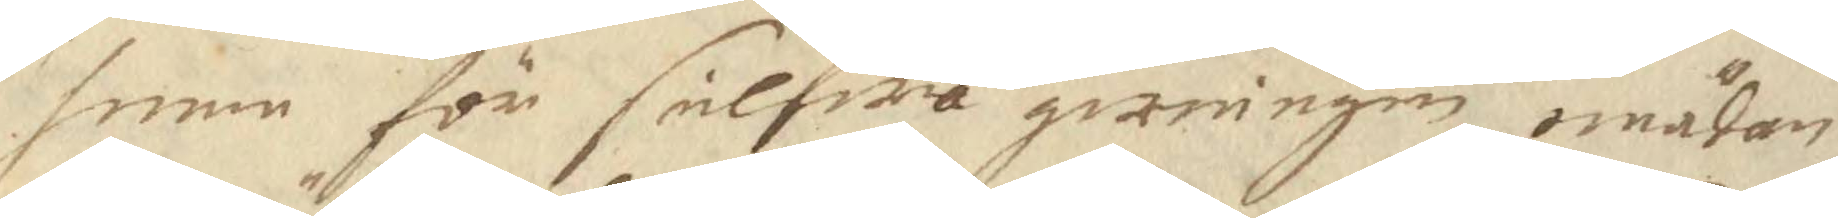henne för selfwa gerningen emädan
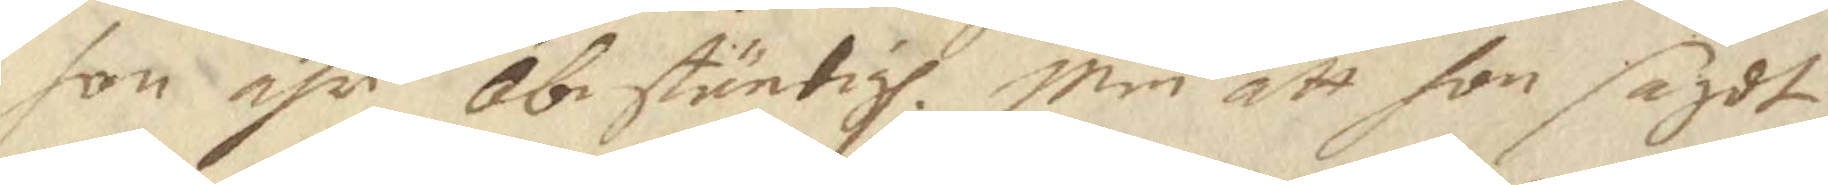hon ähr obestäntigh. Men att hon sagdt
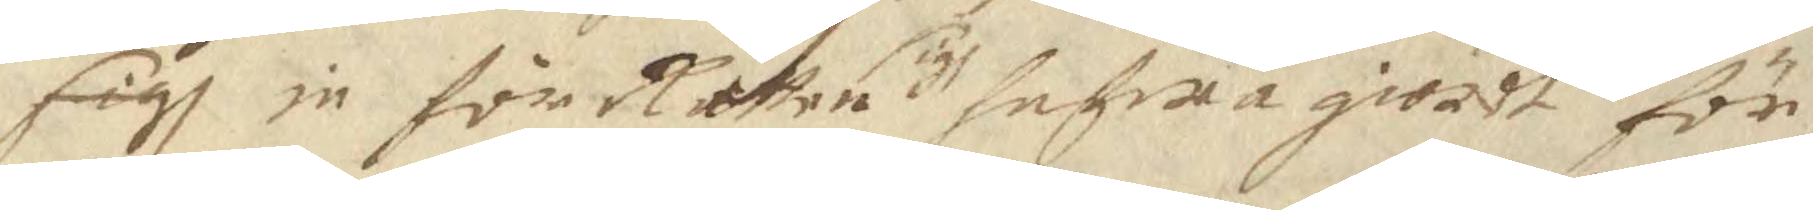sigh in för Rätten sigh hafwa giordt för¬
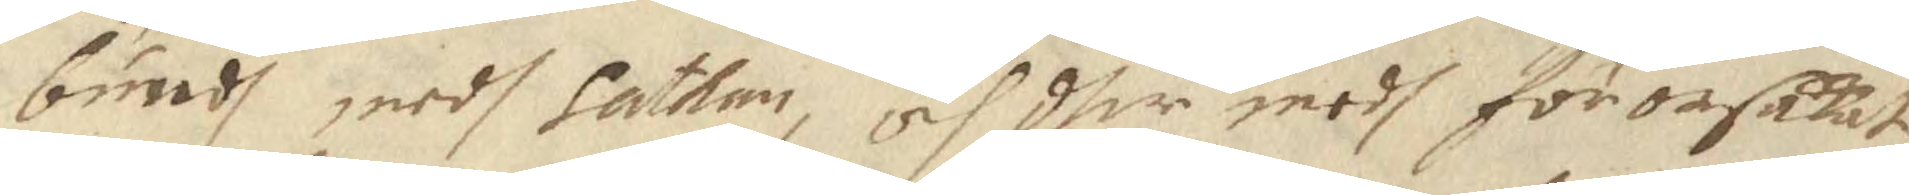bundh medh medh Sathan, och dher medh förorsakat
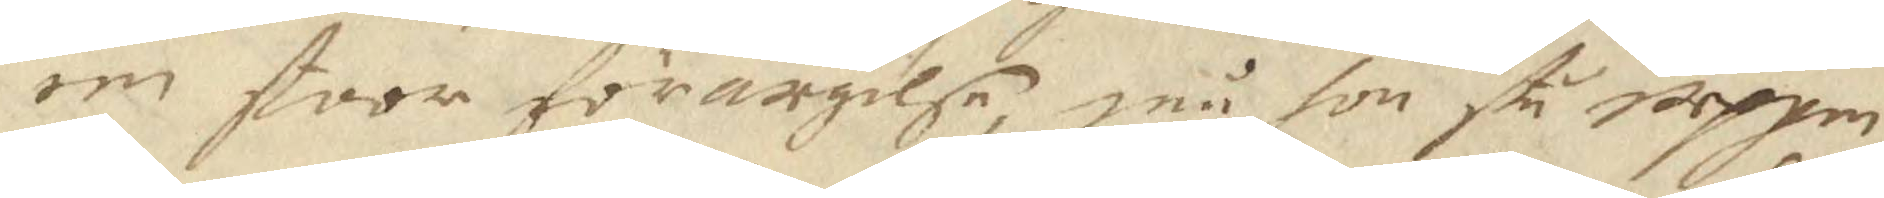een stoor förargelse, må hon stå uppen¬
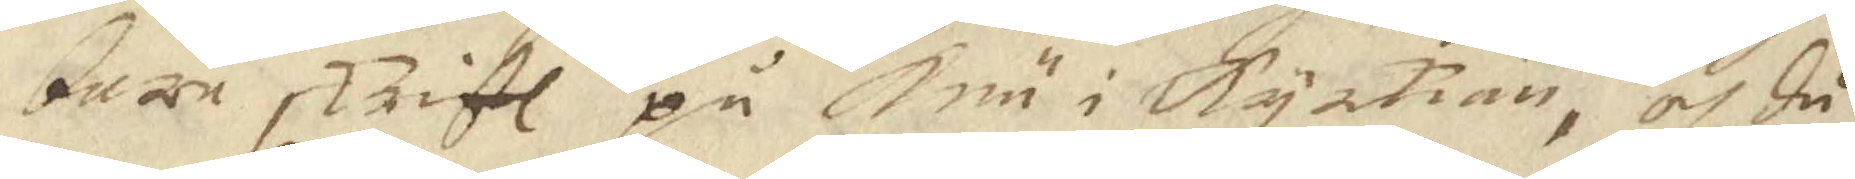bare skrift på Knä i kyrkian, och då
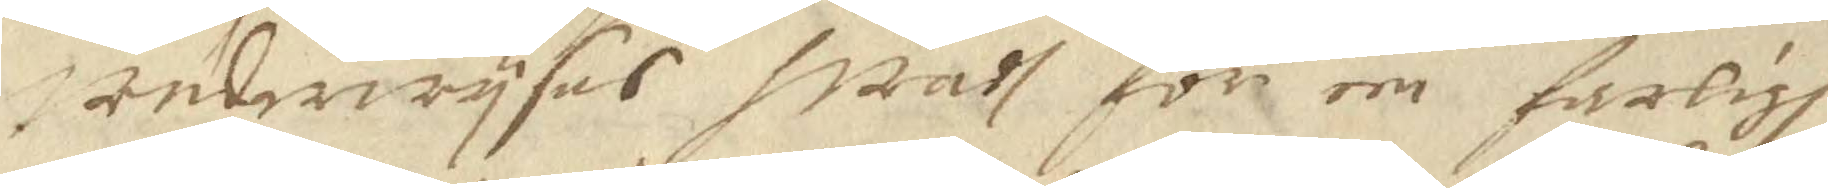underwysas wadh för een farligh
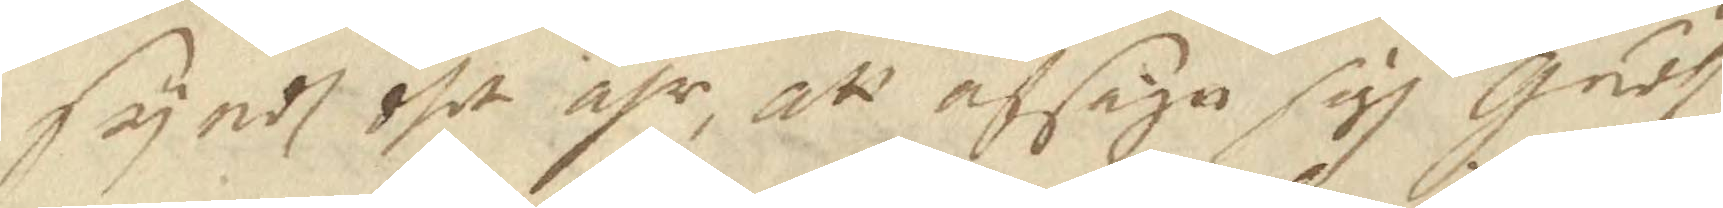syndh dhet ähr, att afsäga sigh Gudh.
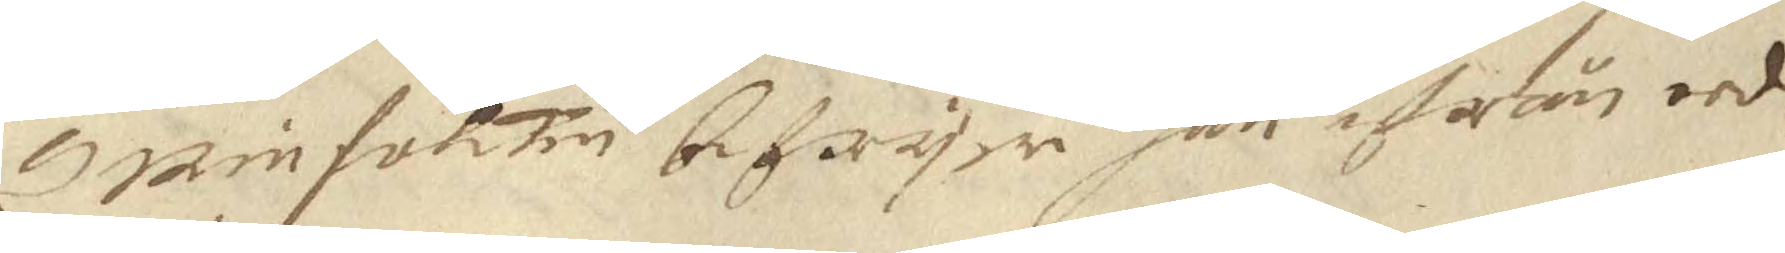Qminfolcken befryer han ifrån eed¬
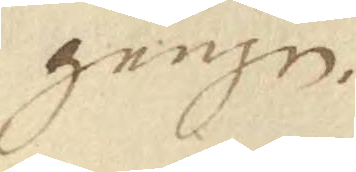gången.
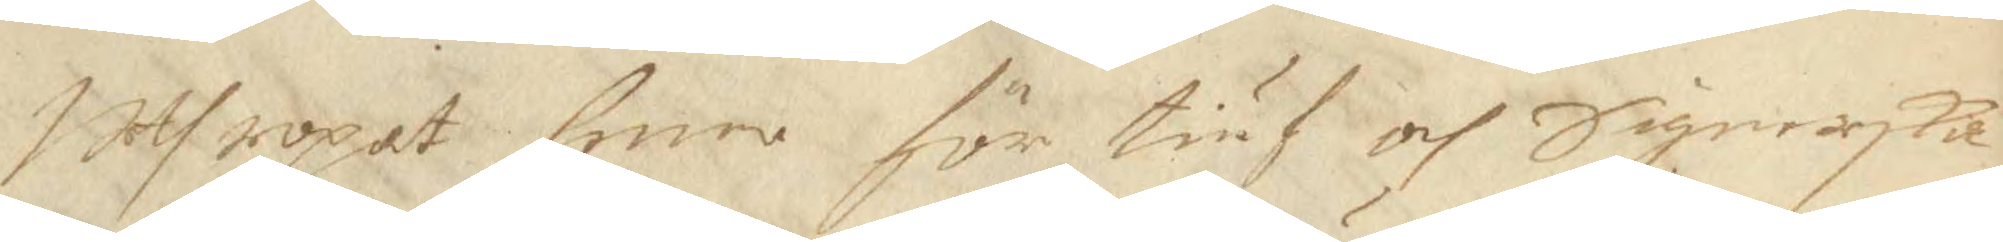Uthropat henne för tiuf och Signerska
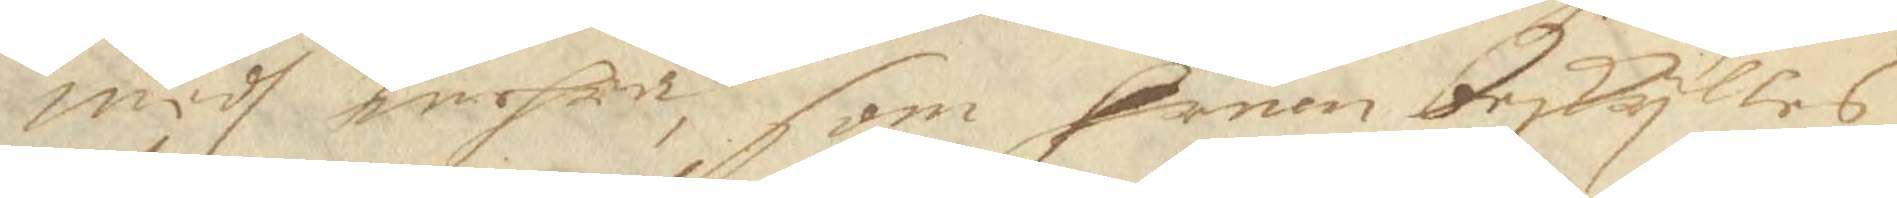medh mehra, som Hrnen beskylles
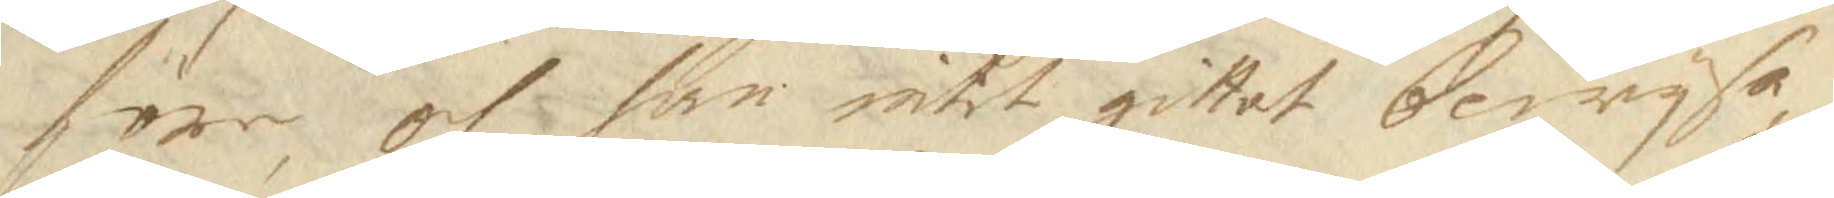före, och han intet gittat bewysa.
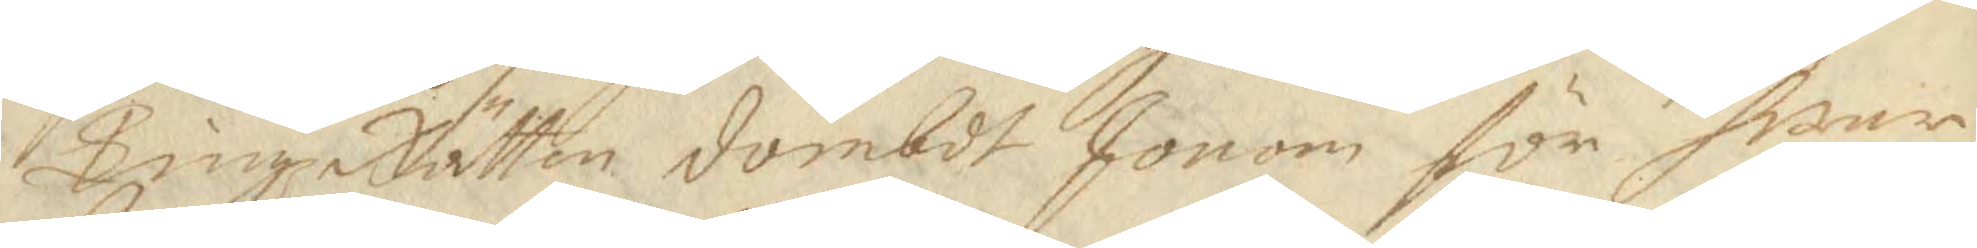TingzRätten dömbdt Honom för hwar
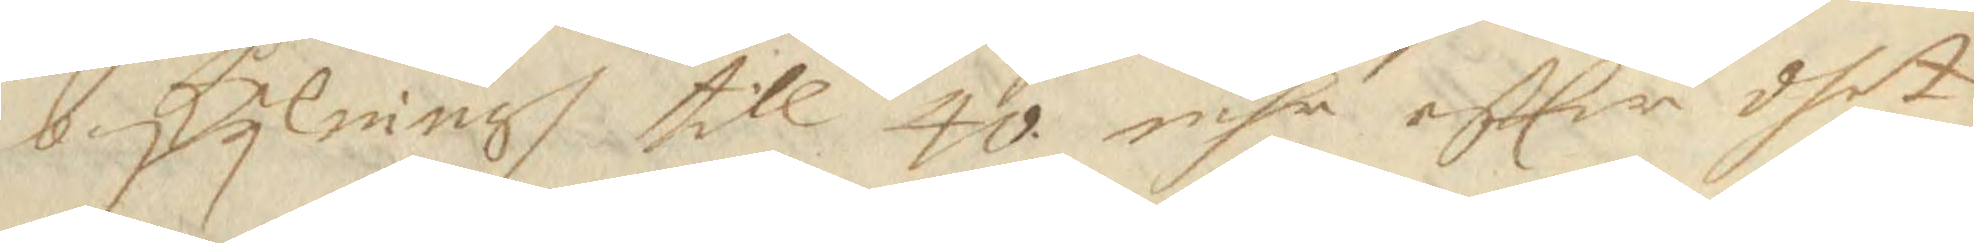beskylning till 40. mhr eftter dhet
